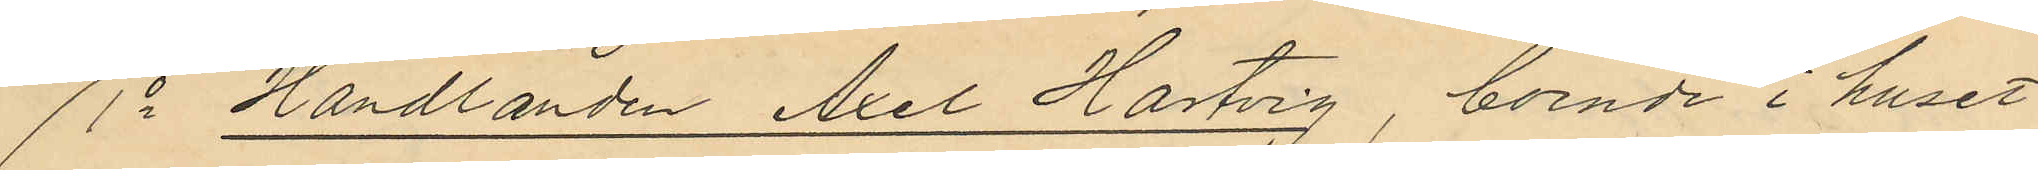1o Handlanden Axel Hartvig, boende i huset
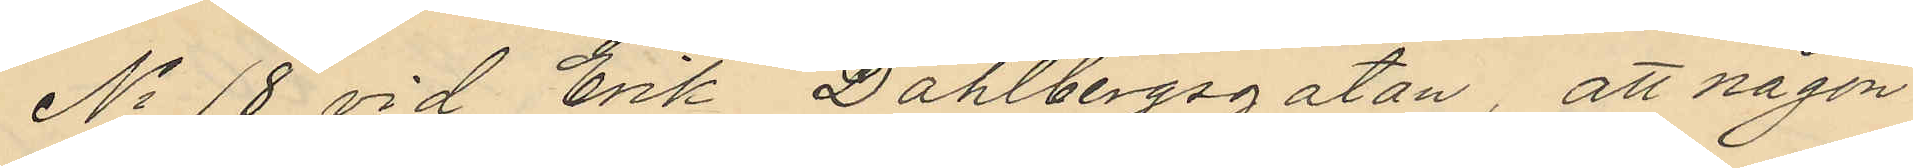No 18 vid Erik Dahlbergsgatan, att någon
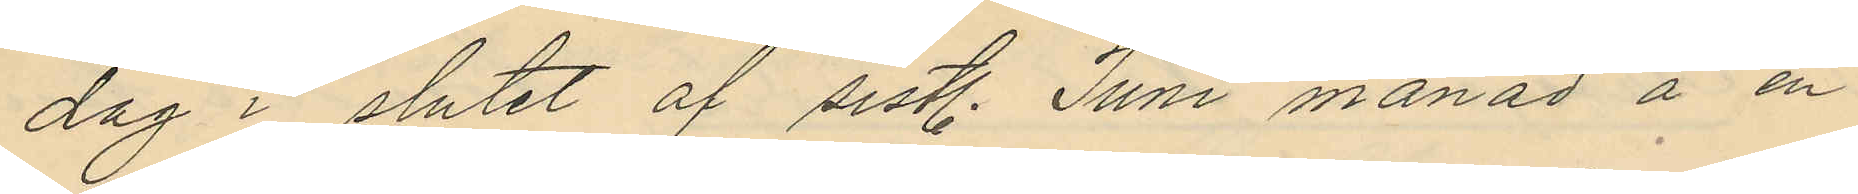dag i slutet af sist. Juni månad å en
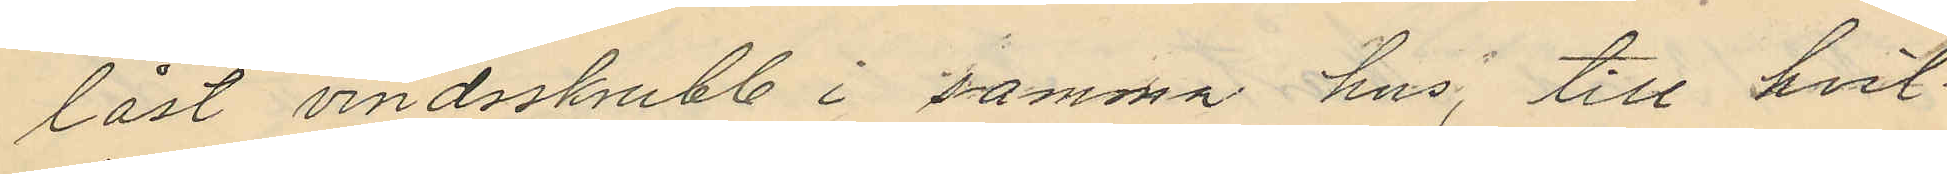låst vindsskrubb i samma hus, till hvil¬
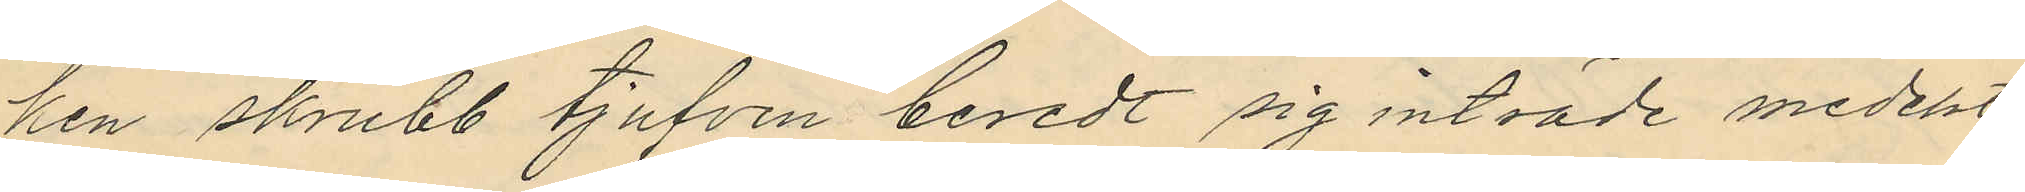ken skrubb tjufven beredt sig inträde medelst
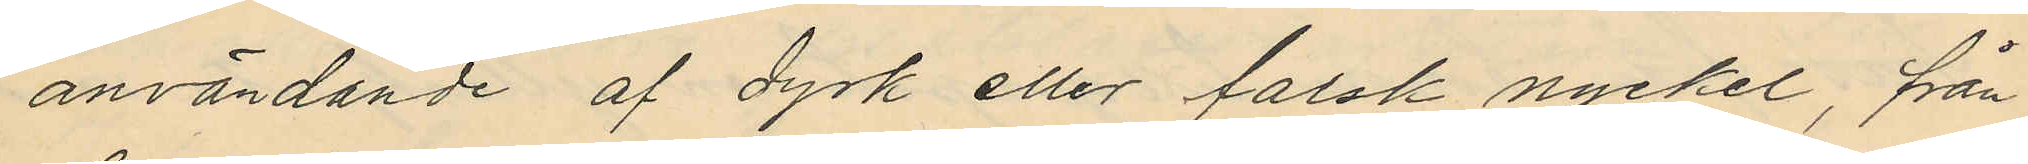användande af dyrk eller falsk nyckel, från
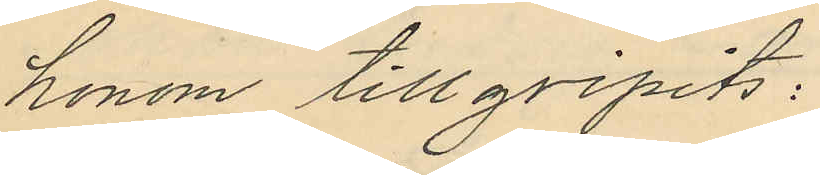honom tillgripits:
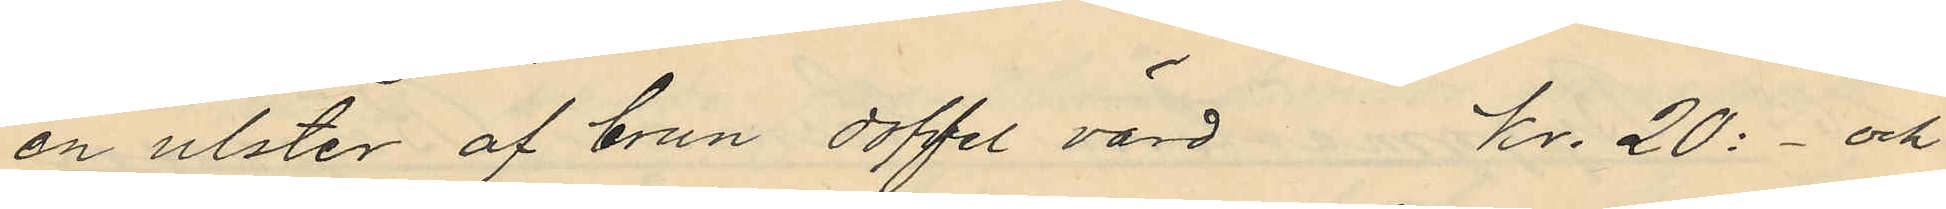en ulster af brun doffel värd Kr. 20:- och
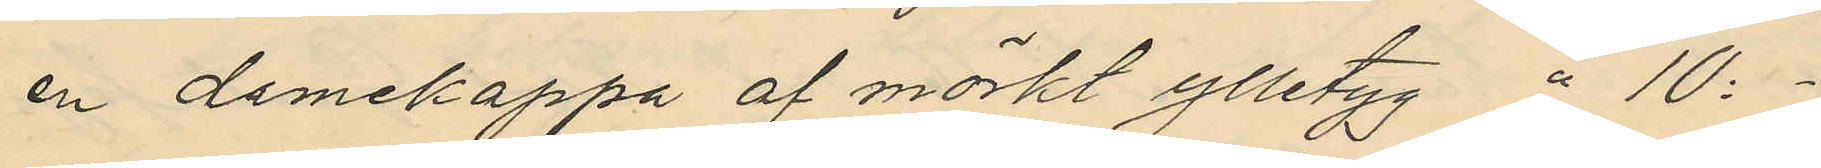en damekappa af mörkt ylletyg " 10:-
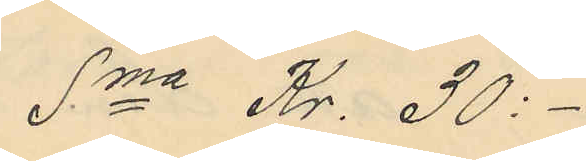Sma Kr. 30:-
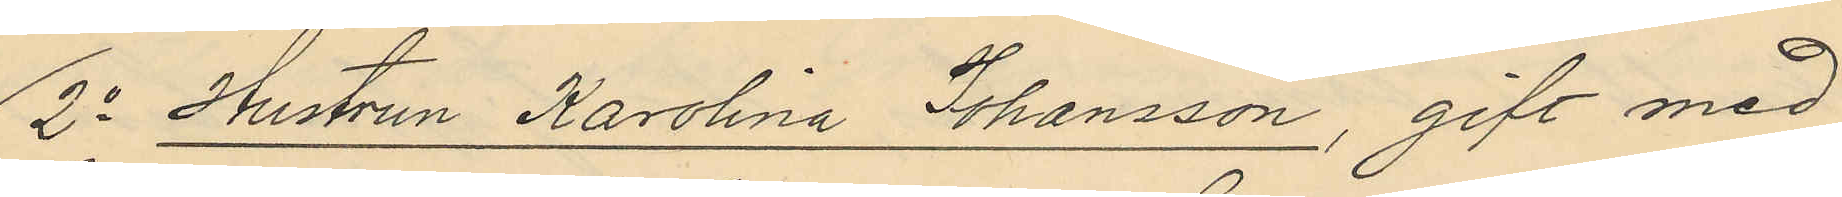2o Hustrun Karolina Johansson, gift med
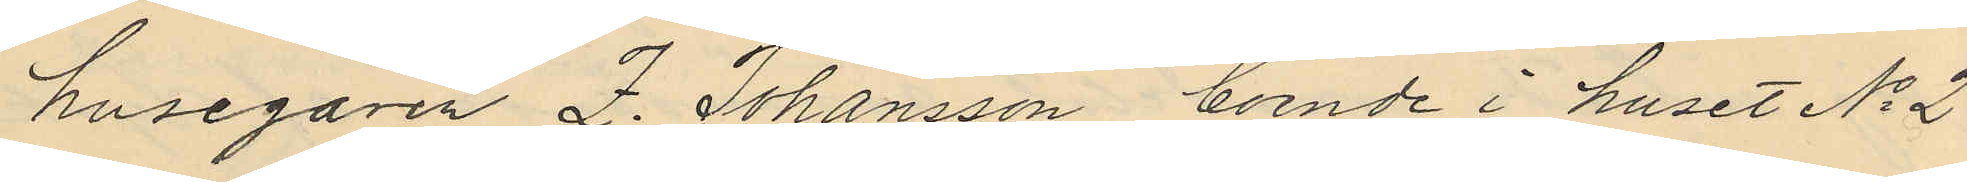husegaren Z. Johansson, boende i huset No 2
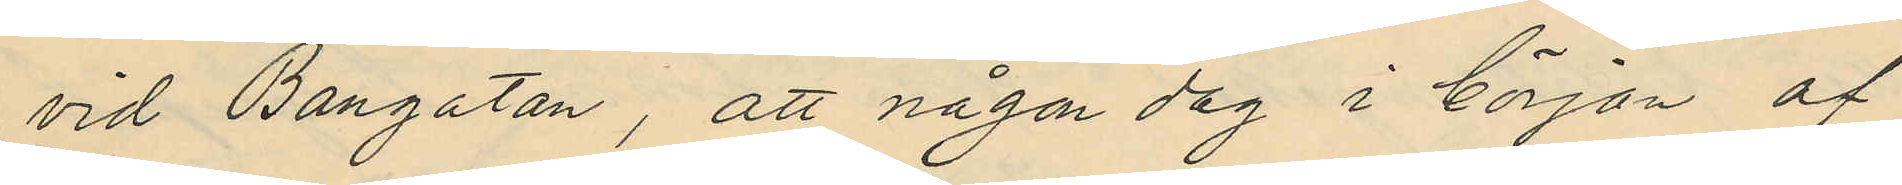vid Bangatan, att någon dag i början af
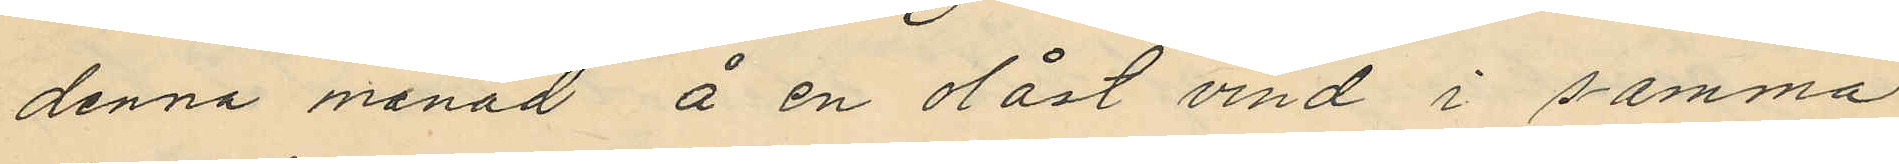denna månad å en olåst vind i samma
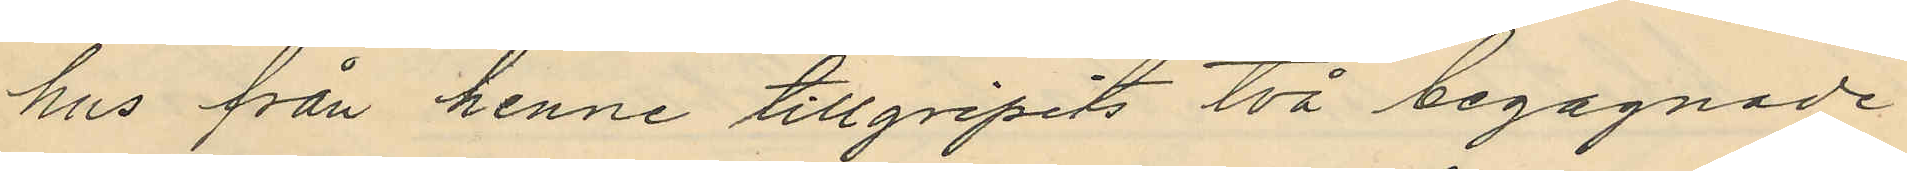hus från henne tillgripits två begagnade
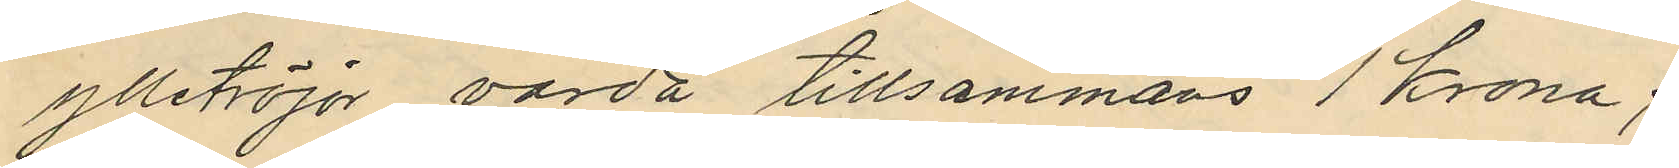ylletröjor värda tillsammans 1 Krona;
